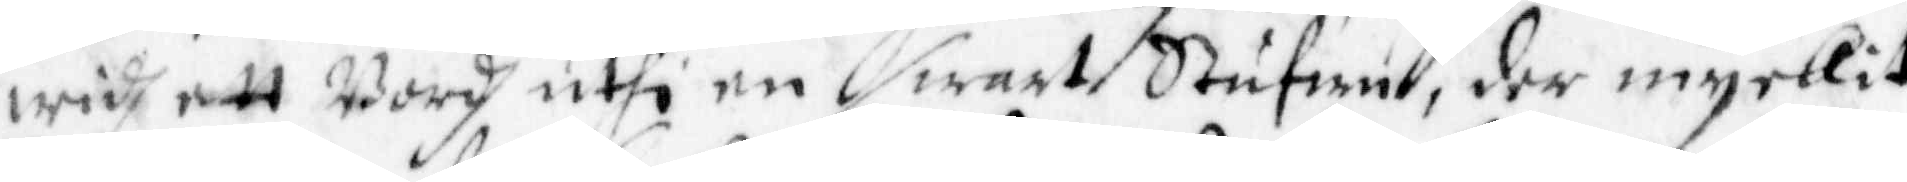widh att Bordh uthi en swart Stufwu, der myckit
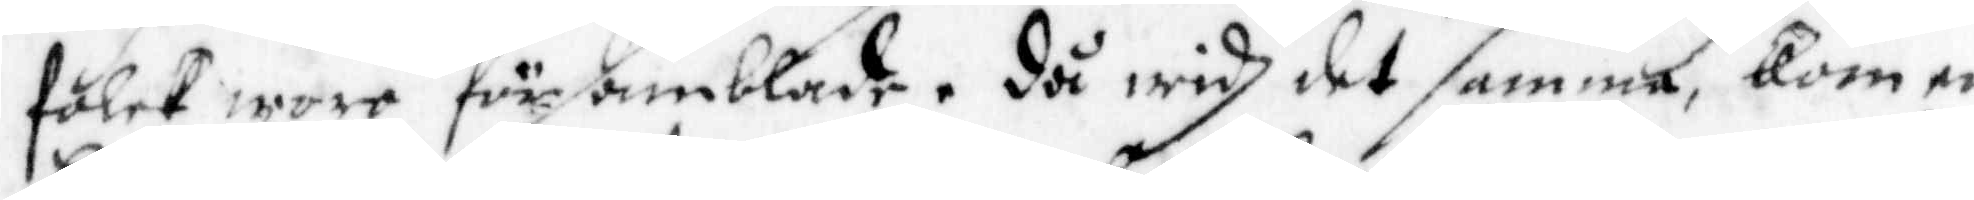folck wore församblade, då widh det samma, kom en
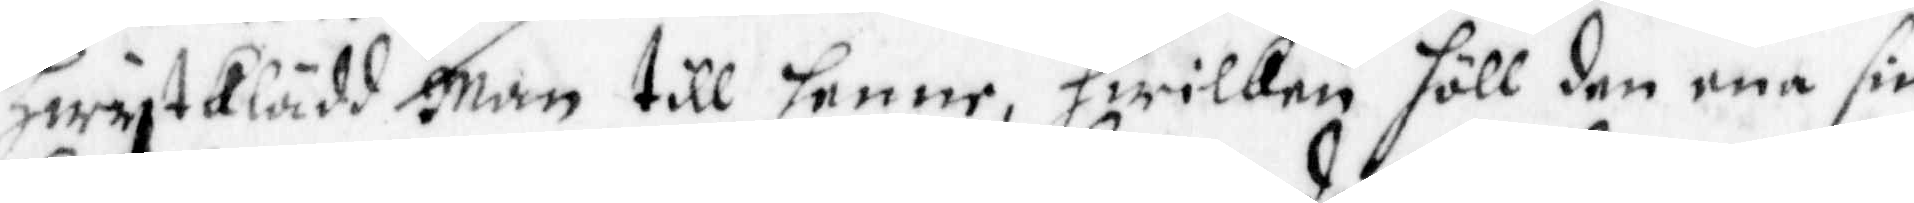Hwyt klädd Man till henne, hwilken höll den ena sin
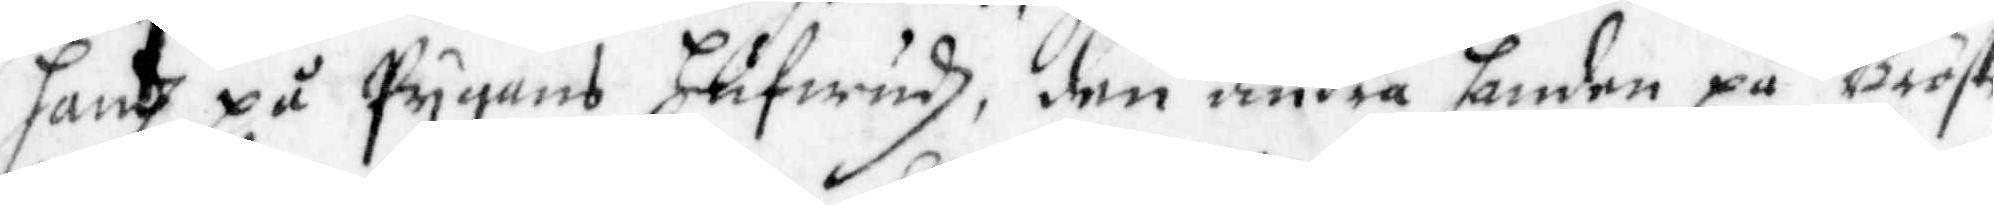hand på Pygans hufwudh, den andra handen på Bröstet
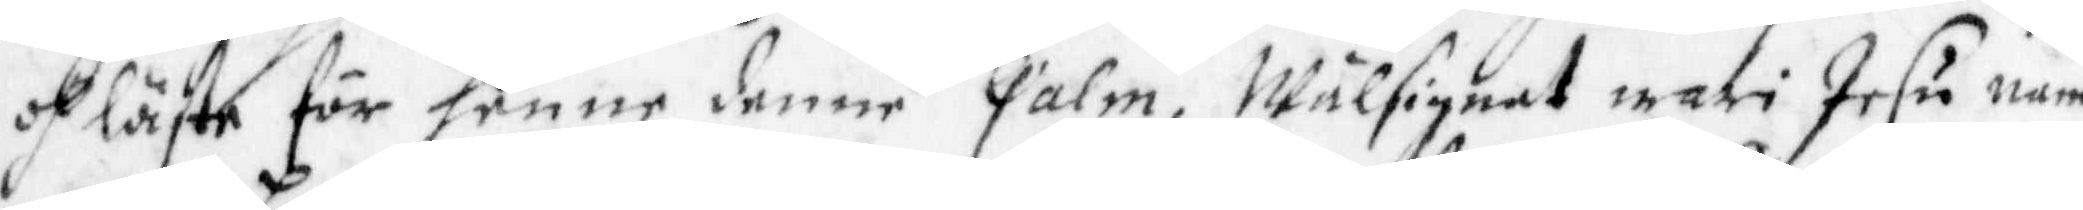och läste för henne denne Palm, Wälsignat wari Jesu namn
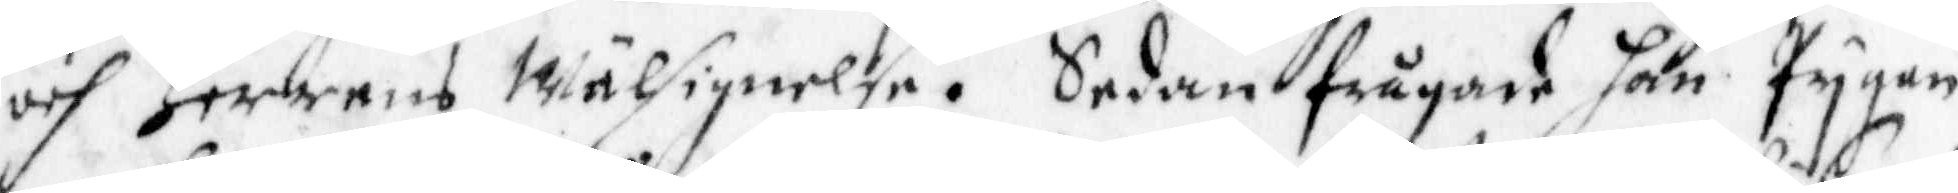och Herrens Wälsignelse. Sedan frågade han Pygan
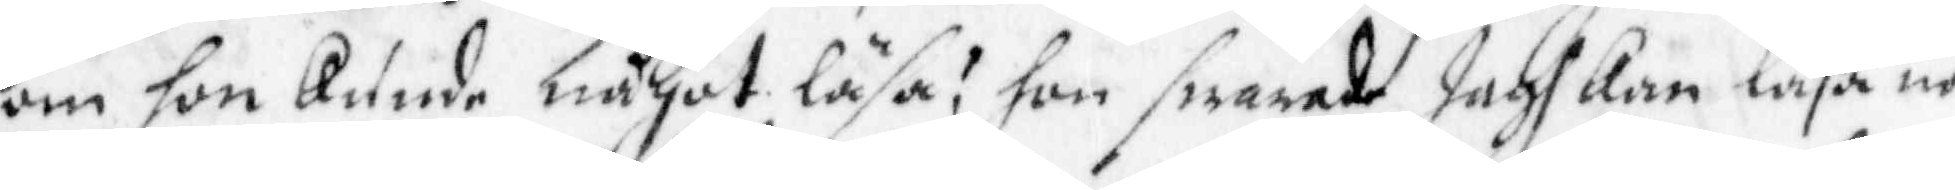om hon kunde något läsa? hon swarade Jagh Kan läsa nå¬
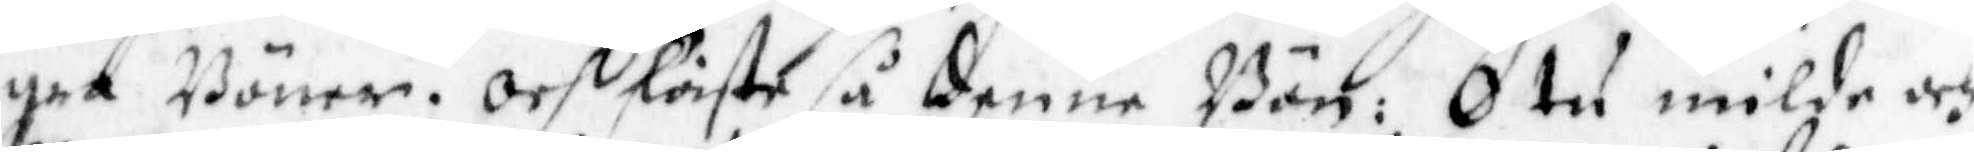gra Böner. Och läste så denne Bön: O tu milde och
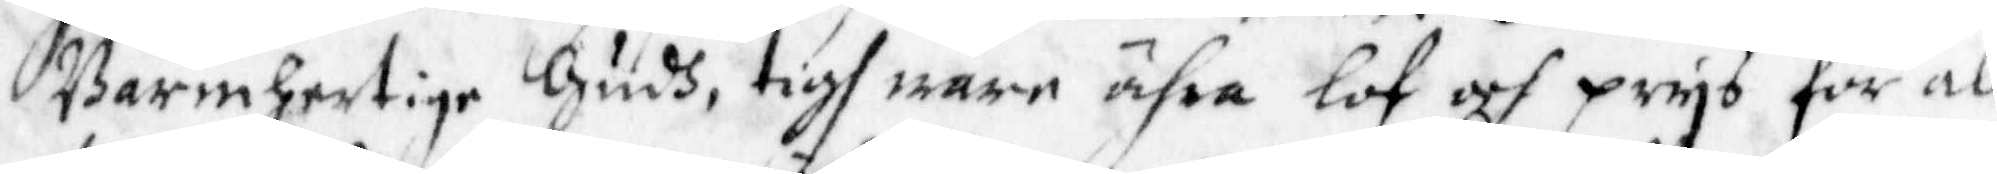Barmhertige Gudh, tigh wara ähra lof och prys för all
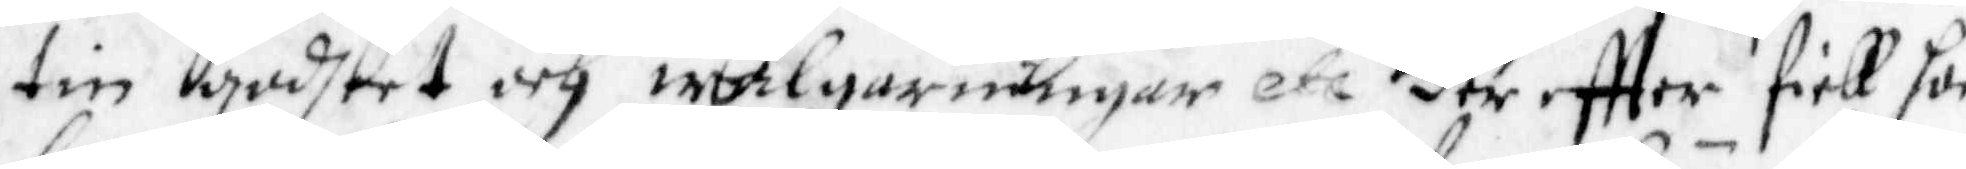tin godhtet och wälgarningar etc der eftter fick hon
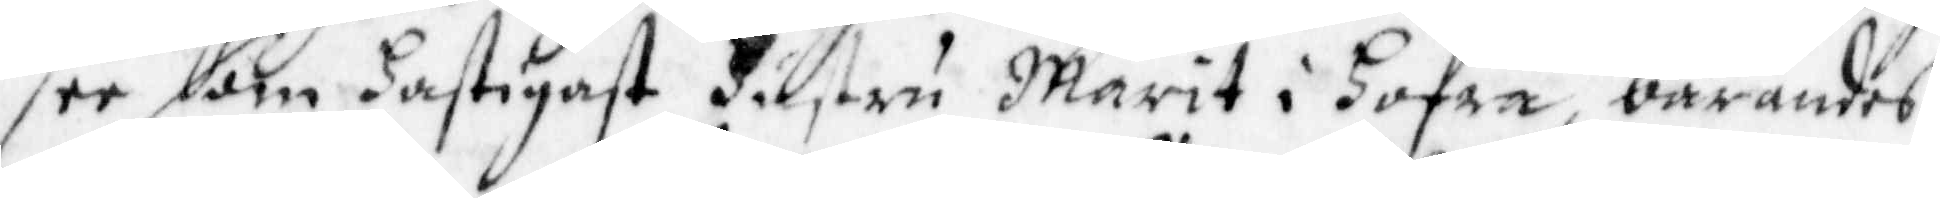see som hastigast Hustru Marit i hofra bärandes
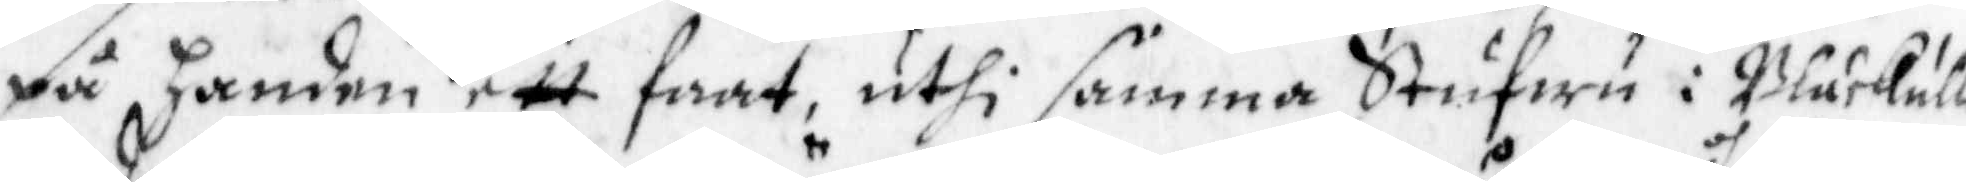på handen ett faat, uthi samma Stufwu i Blåkulla
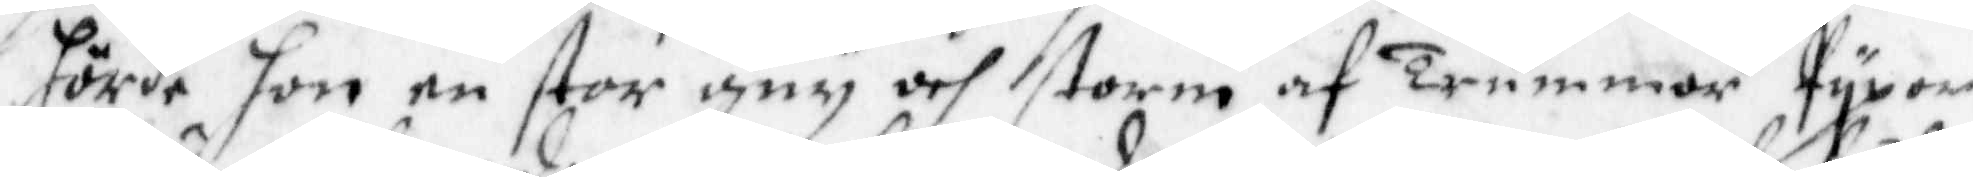hörde hon en stor gny och storm af Trummor Pypor,
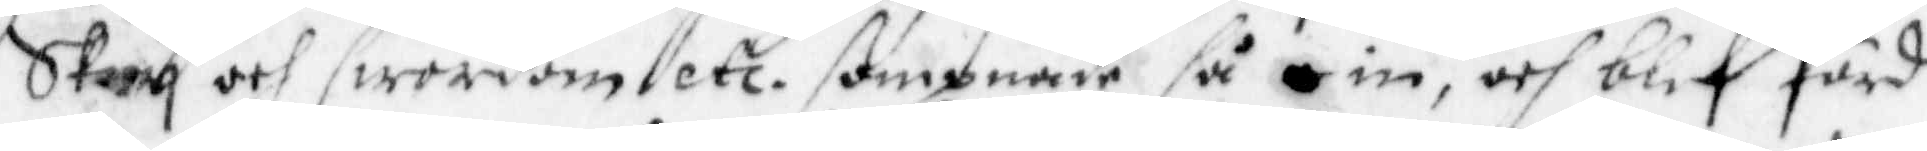Skry och swordomb etc, sompnade så im, och blef förd
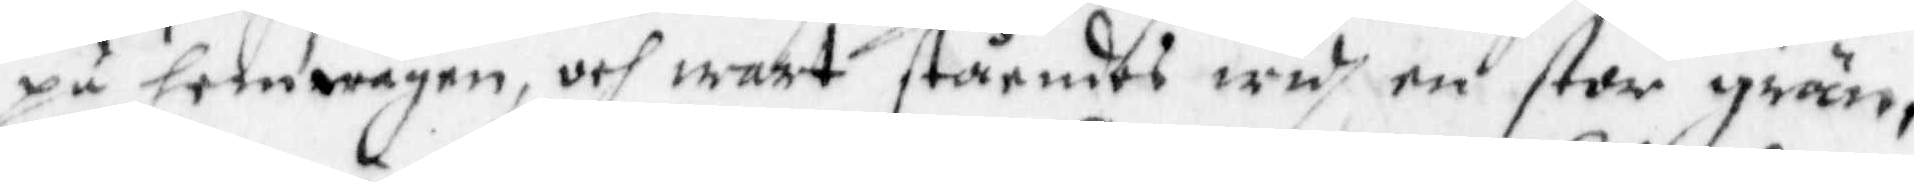på hem wägen, och wart ståendes widh en stor grän,
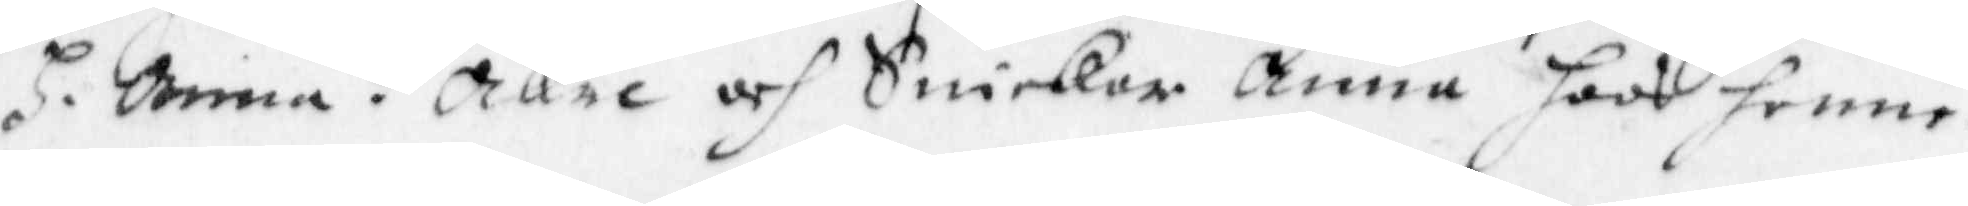H. Anna i Åkre och Snickar Anna hoos henne.
